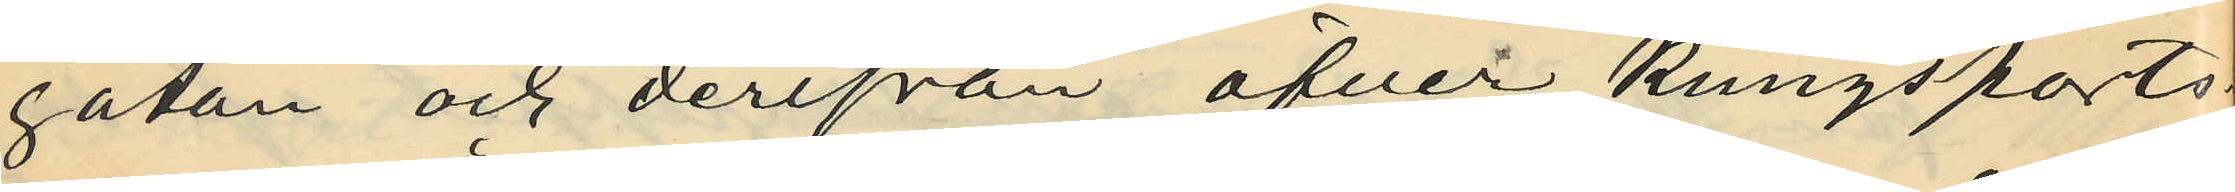gatan och derifrån öfver Kungsports¬
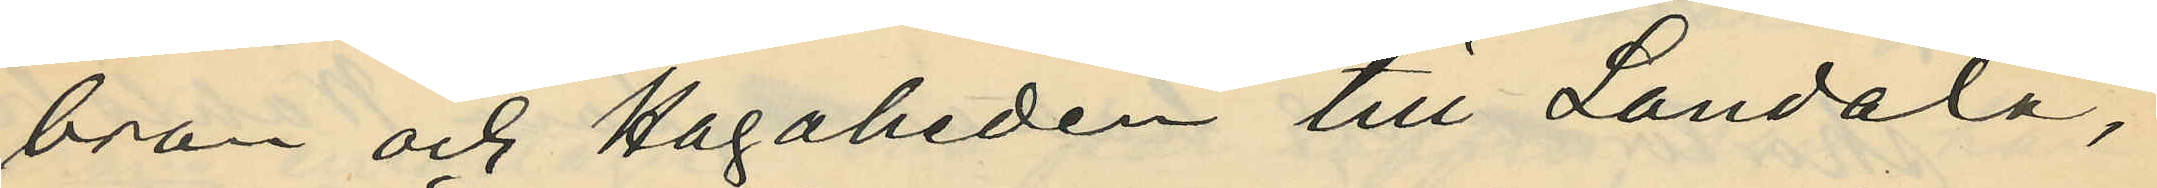bron och Hagaheden till Landala,
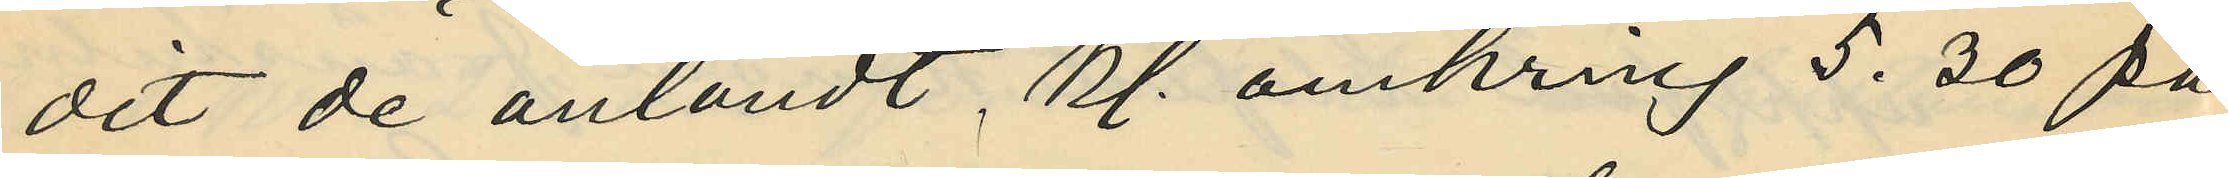dit de anländt, kl. omkring 5.30 på
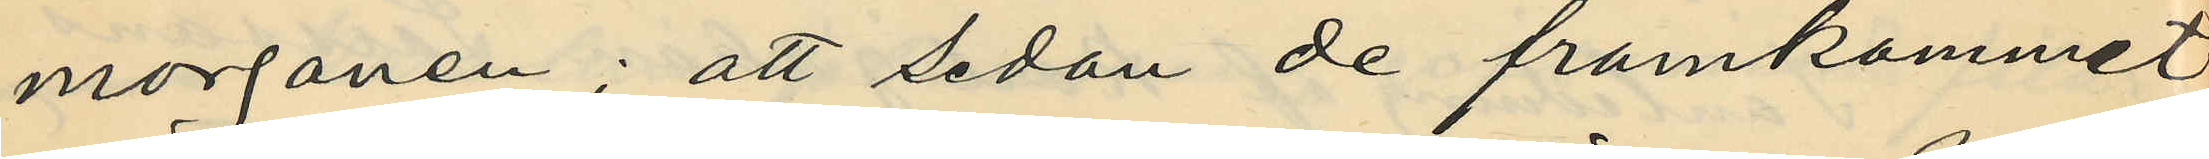morgonen; att sedan de framkommit
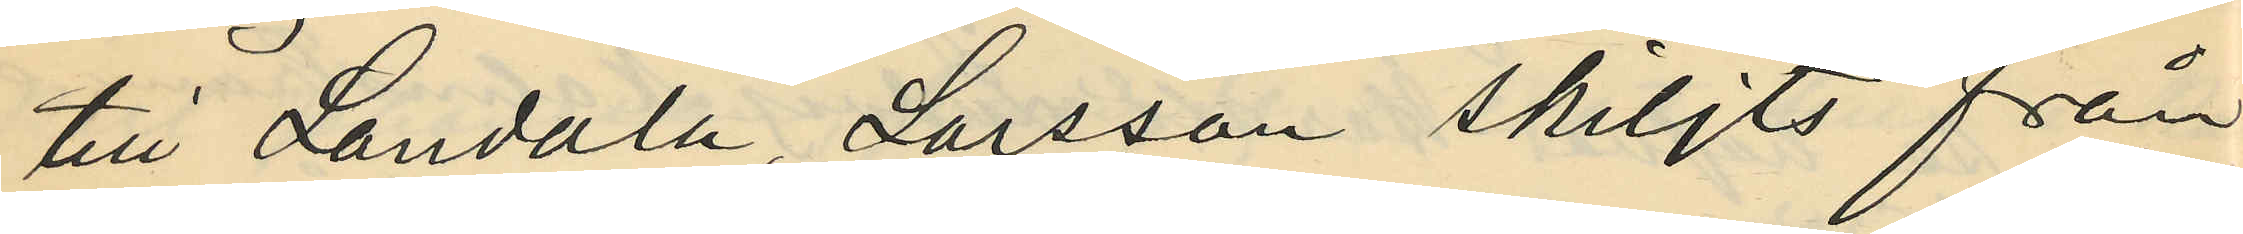till Landala, Larsson skiljts från
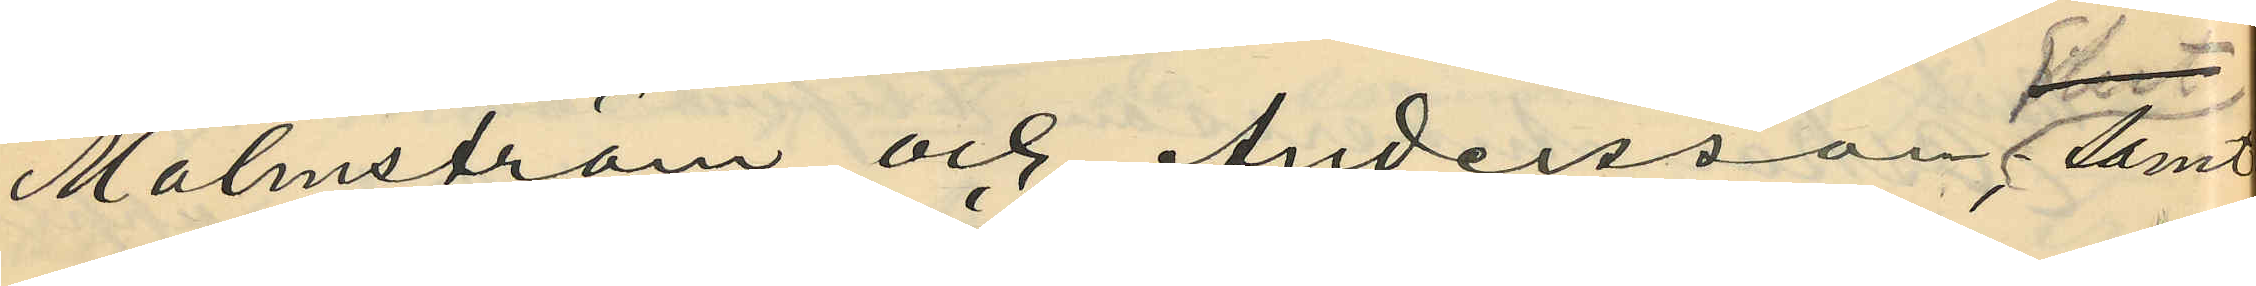Malmström och Andersson samt
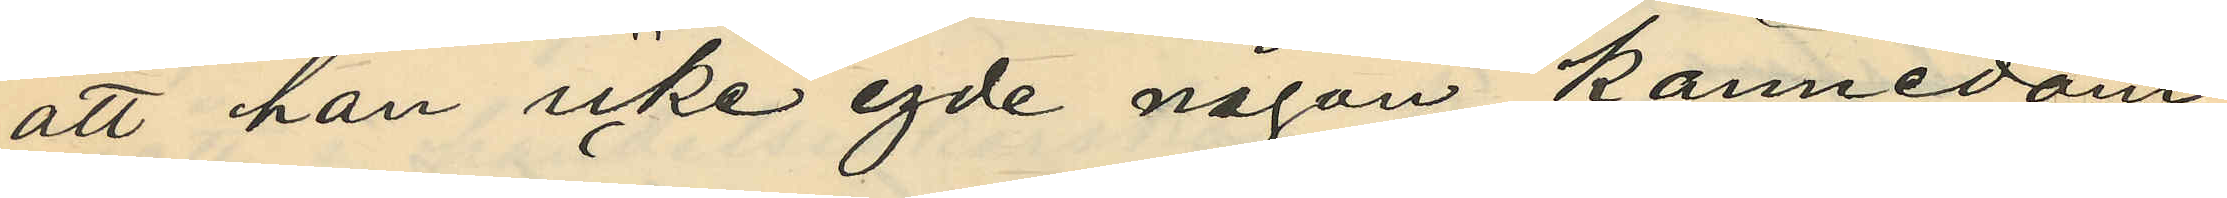att han icke egde någon kännedom
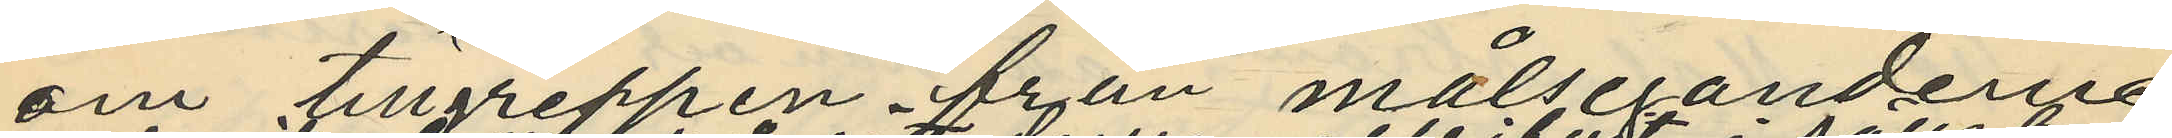om tillgreppen från målsegandena
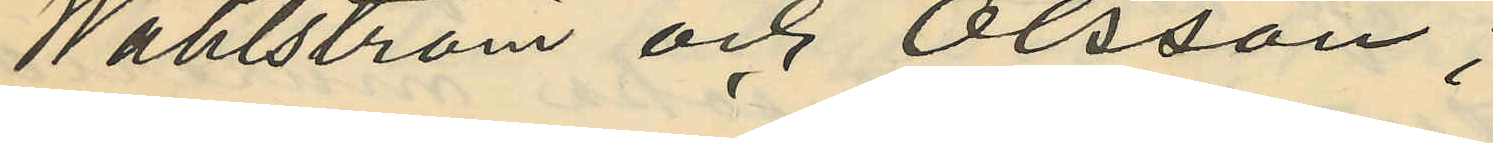Wahlström och Olsson,
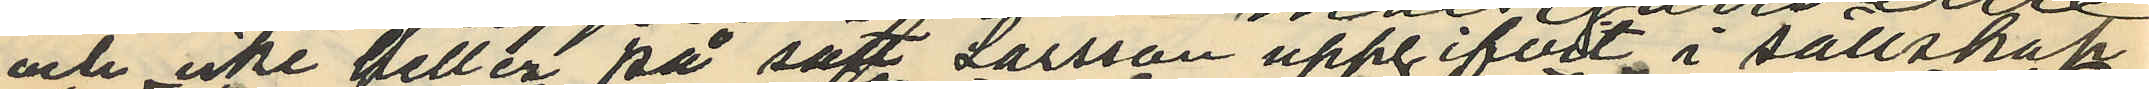och icke heller på sätt Larsson uppgifvit i sällskap
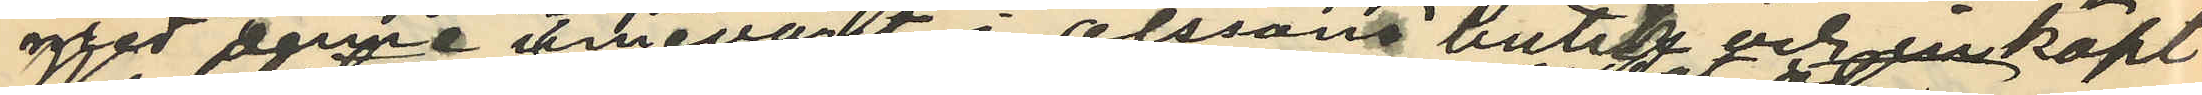med denne innevarit i Olssons butik och inköpt
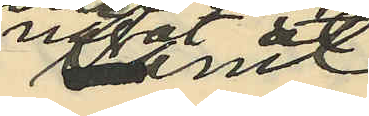något
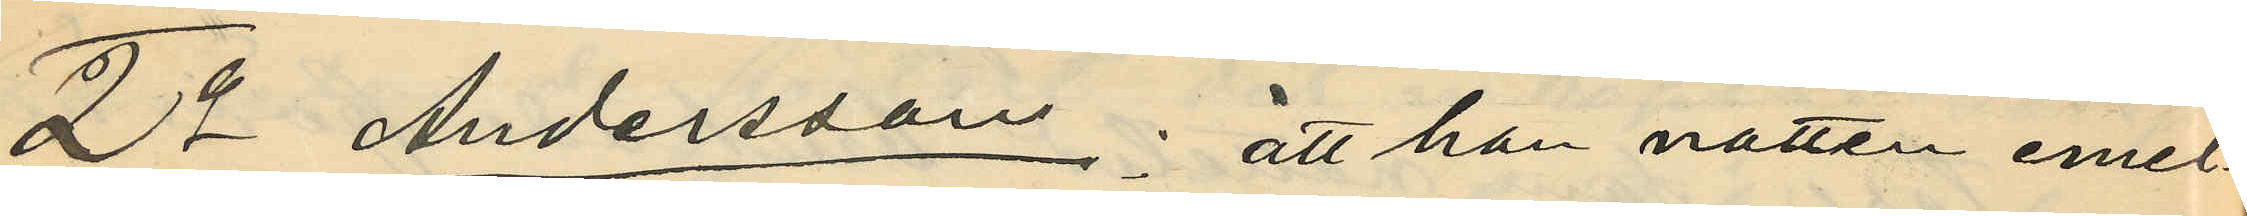2o Andersson: att han natten emel¬
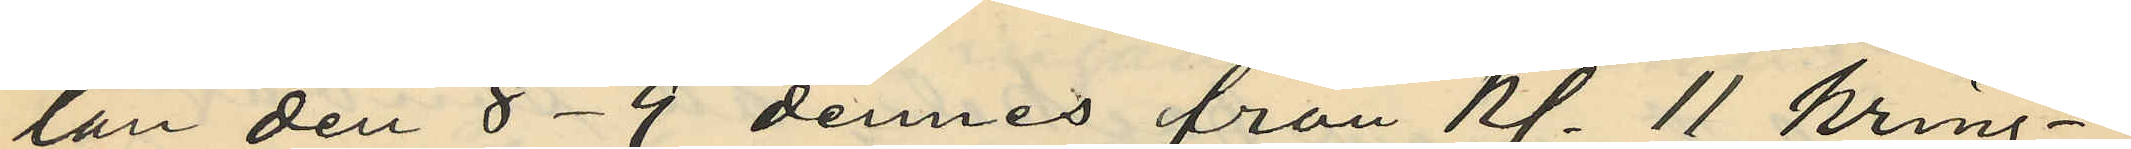lan den 8-9 dennes från Kl. 11 kring¬
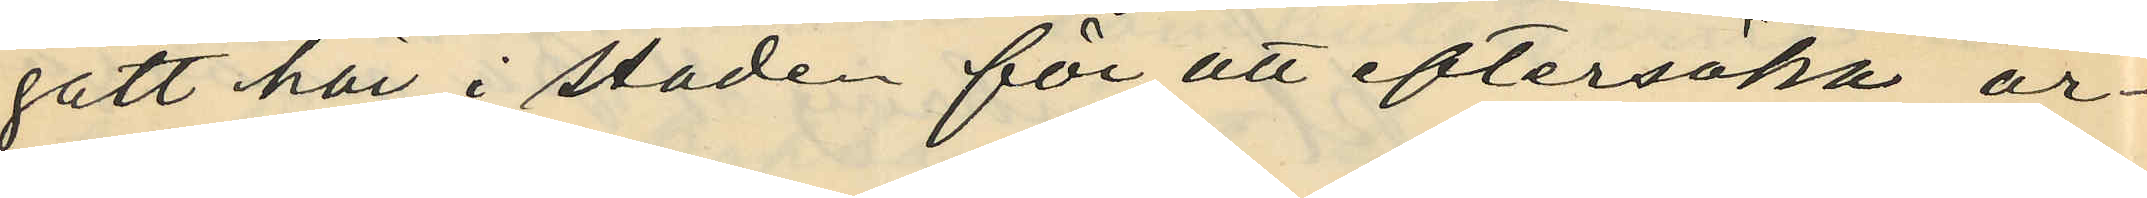gått här i staden för att eftersöka ar¬
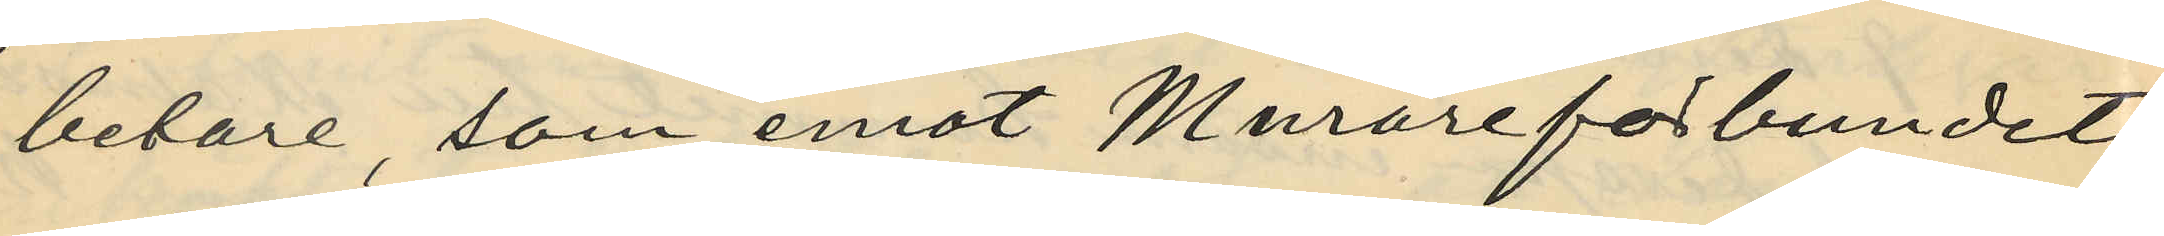betare, som emot Murareförbundets
